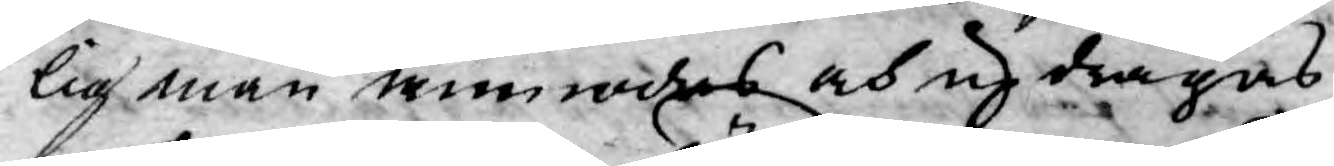lig man anmodas och updragas
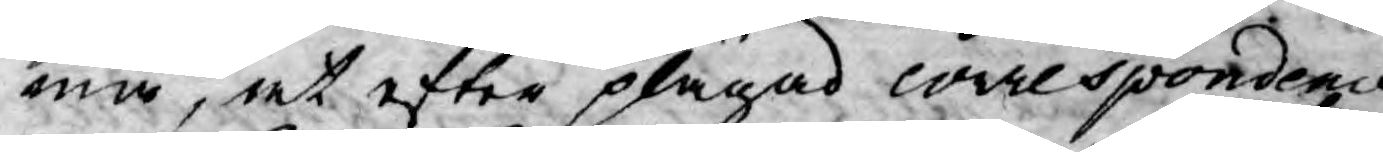må, at efter plägad correspondence
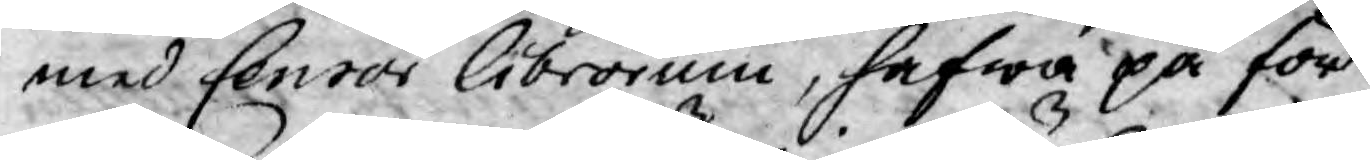med Censor Librorum, hafwa på för¬
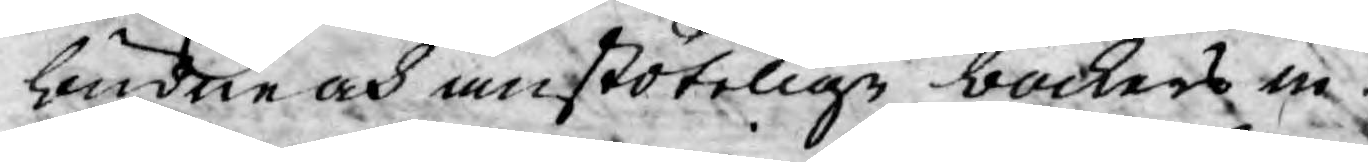biudne och anstötelige böckers in¬
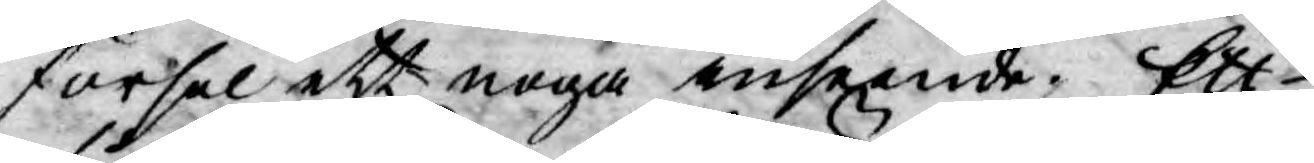försel ett noga inseende. Ett
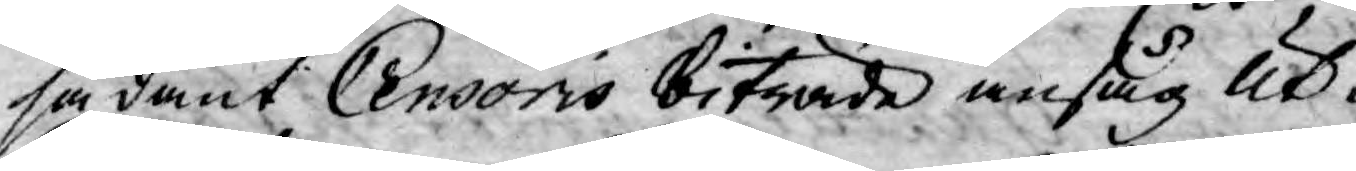sådant Censoris biträde ansåg Ut¬
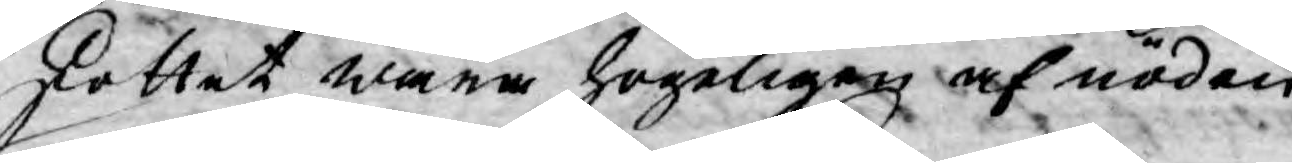skottet wara högeligen af nöden.
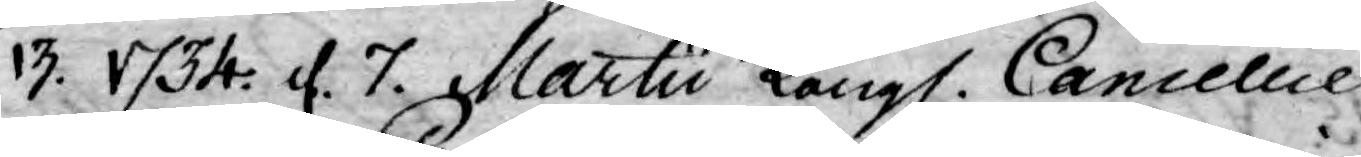13. 1734. d. 7. Martii Kongl. Cancellie
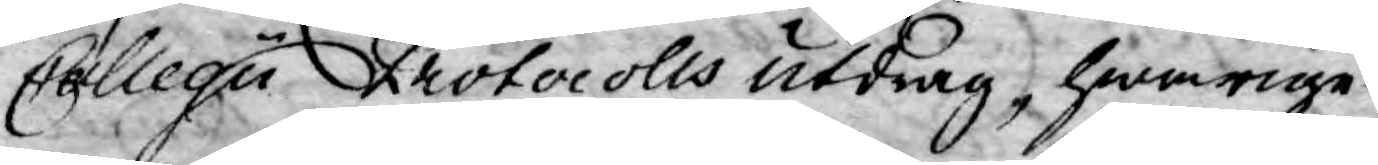Collegii Protocolls utdrag, hwarige¬
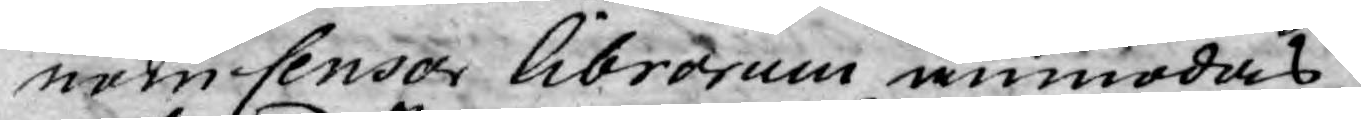nom Censor librorum anmodas
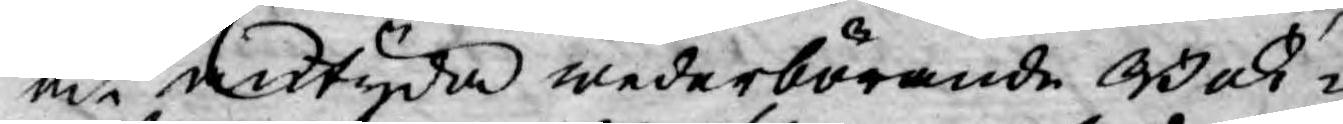at antyda wederbörande Bok¬
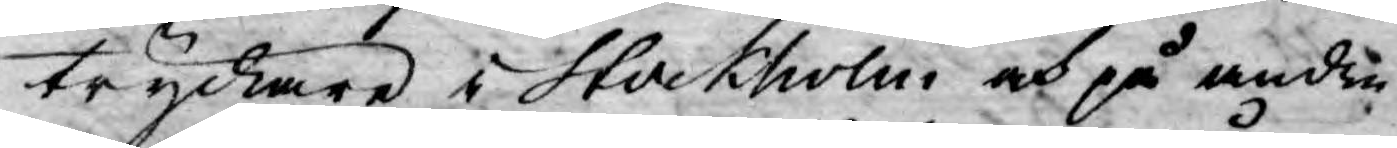tryckare i Stockholm och på andra
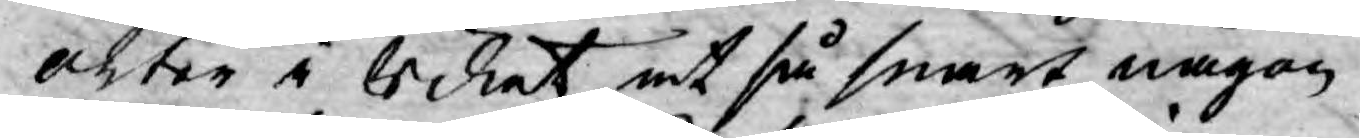orter i Riket at så snart någon
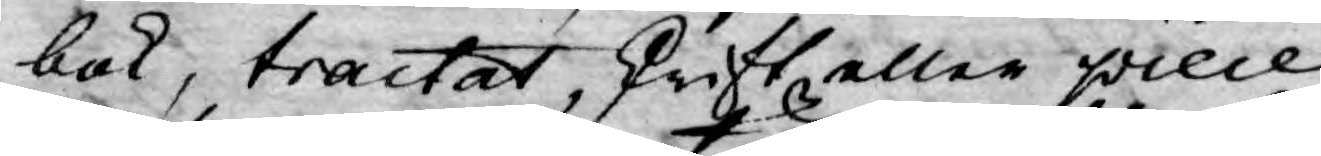bok, tractat, skrift, eller piece
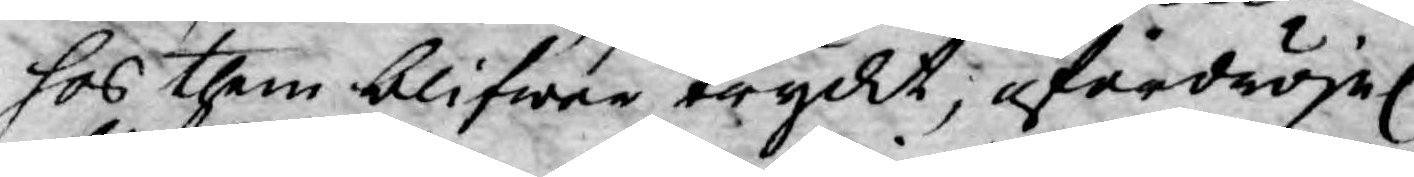hos them blifwer tryckt, ofördröjel.
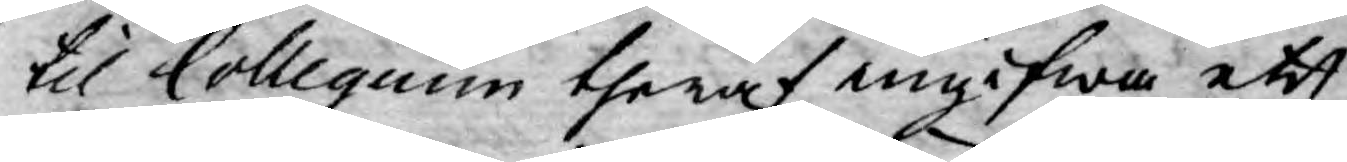til Collegium theraf ingifwa ett
